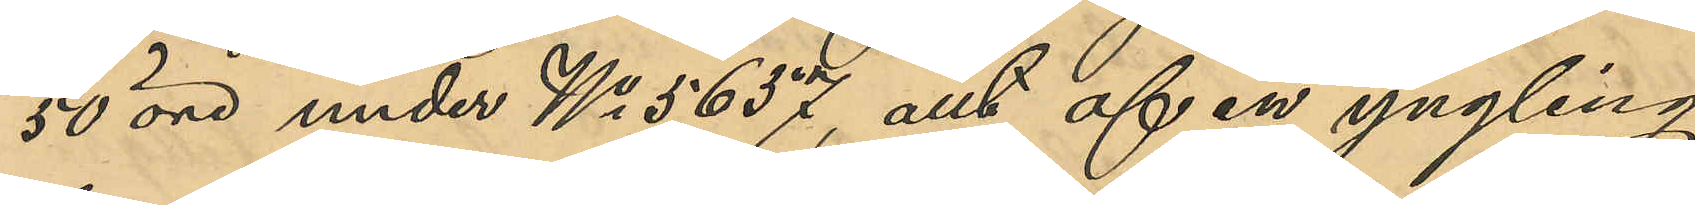50 öre under No 5637, allt af en yngling,
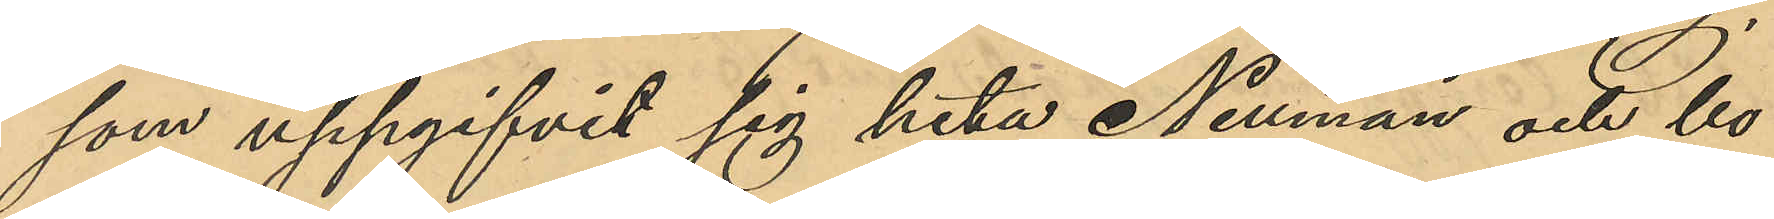som uppgifvit sig heta Neuman och bo
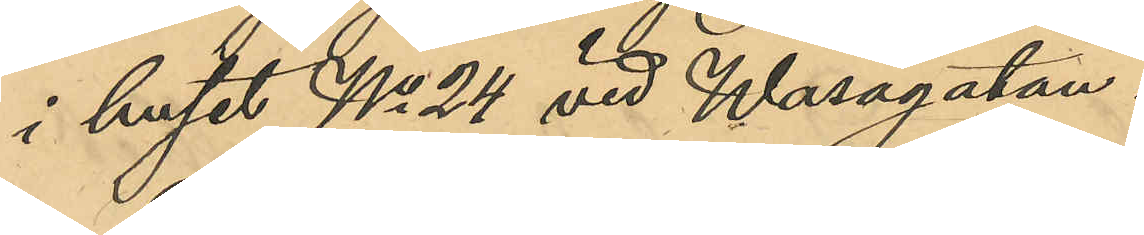i huset No 24 vid Wasagatan.
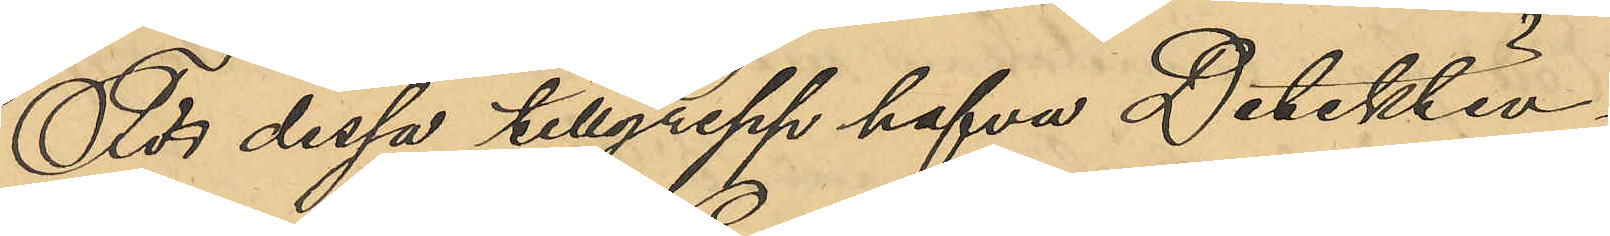För dessa tillgrepp hafva Detektiv¬
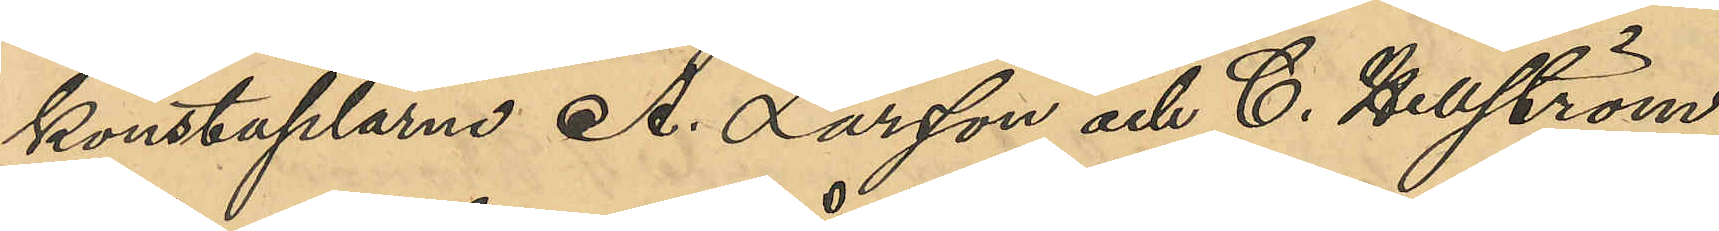konstaplarne A. Larsson och C. Hellström
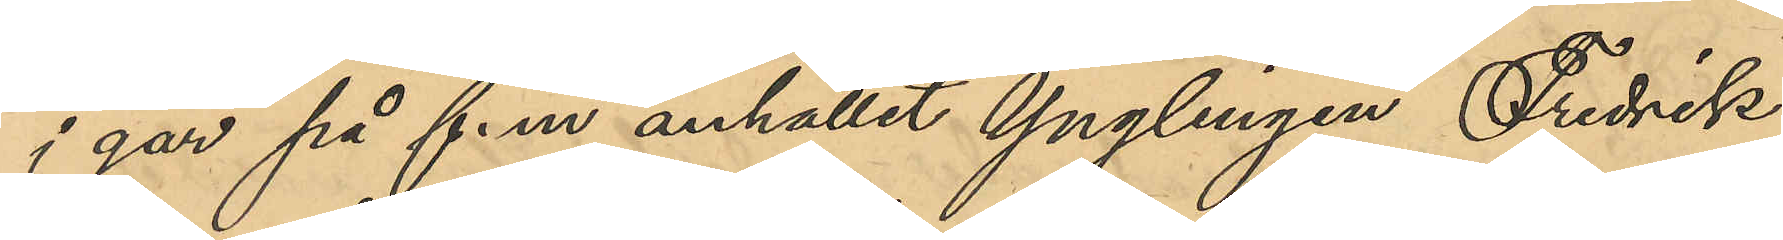i går på f.m anhållit ynglingen Fredrik
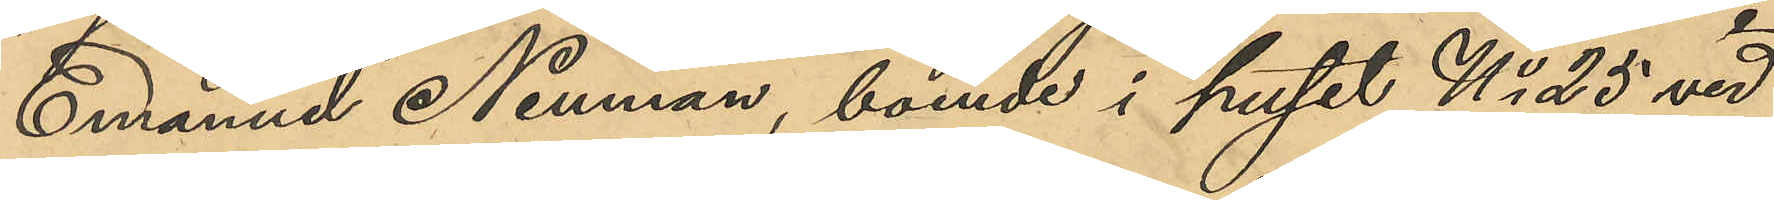Emanuel Neuman, boende i huset No 25 vid
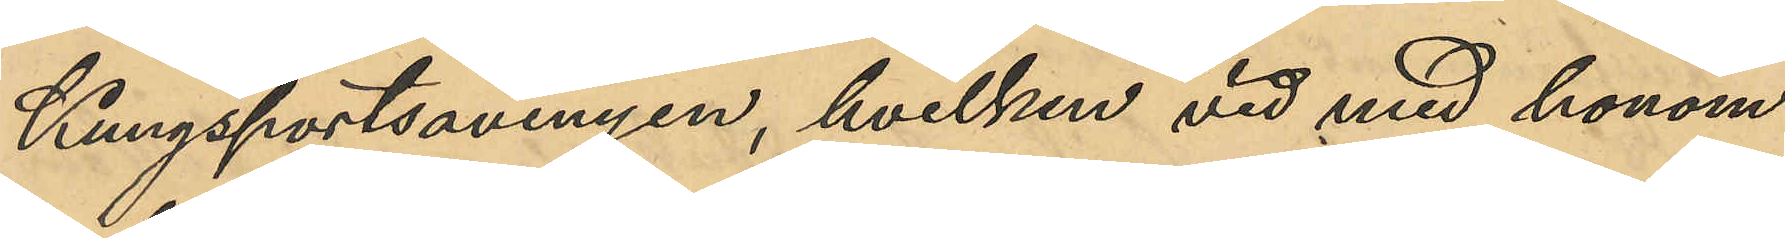Kungsportsavenyn, hvilken vid med honom
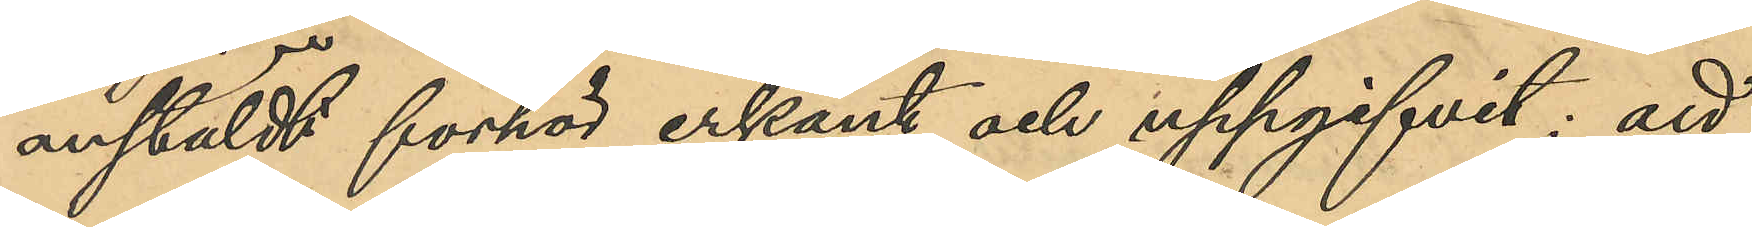anstäldt förhör erkänt och uppgifvit: att
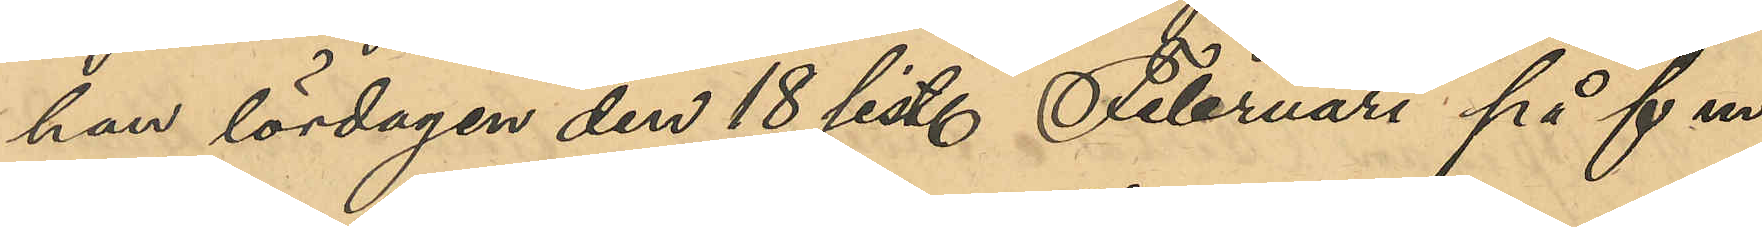han lördagen den 18 sist. Februari på f m,
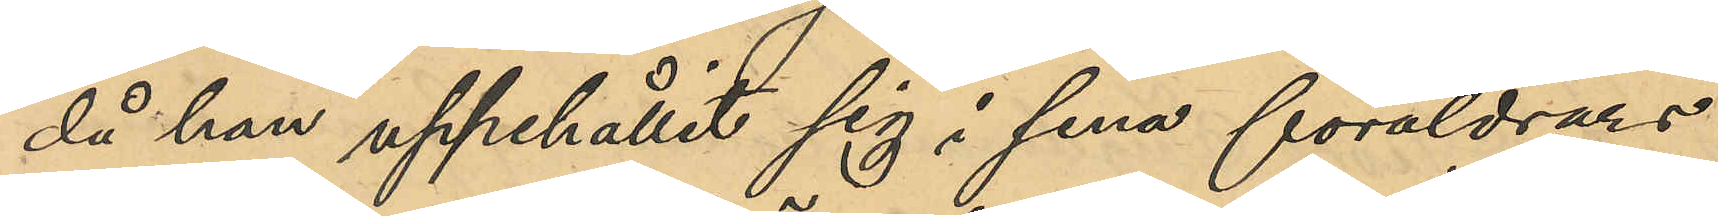då han uppehållit sig i sina föräldrars
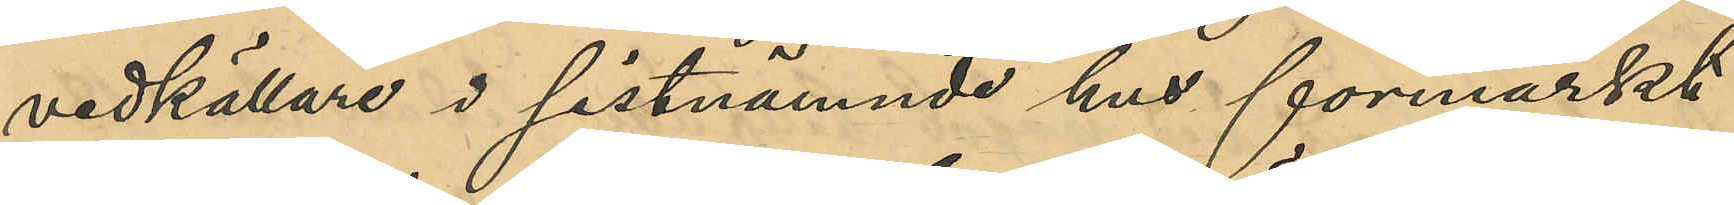vedkällare i sistnämnde hus förmärkt
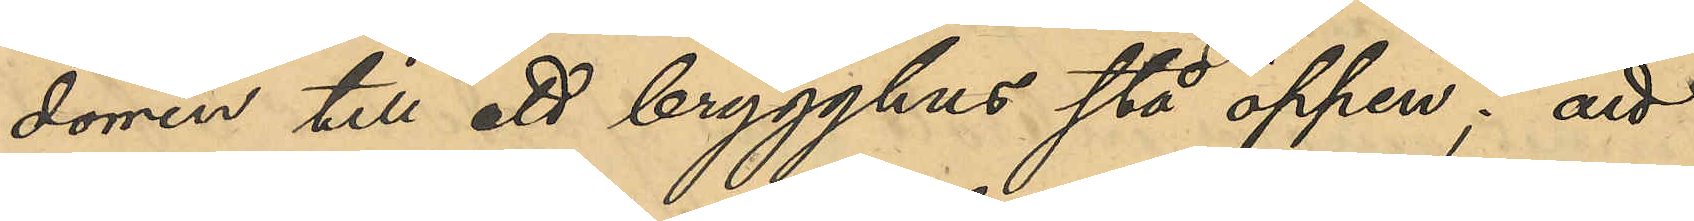dörren till ett brygghus stå öppen; att
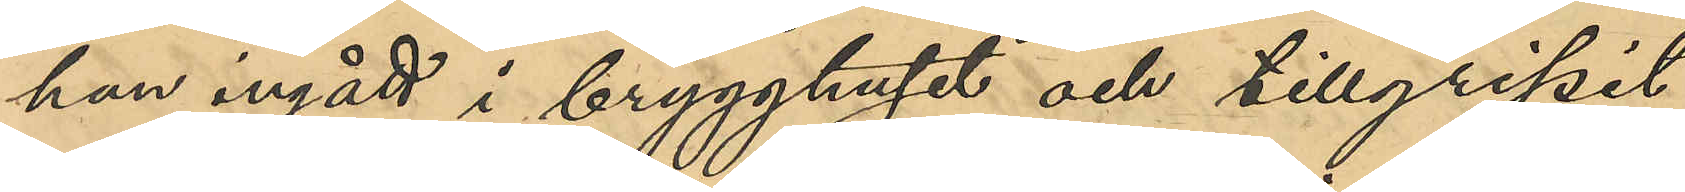han ingått i brygghuset och tillgripit
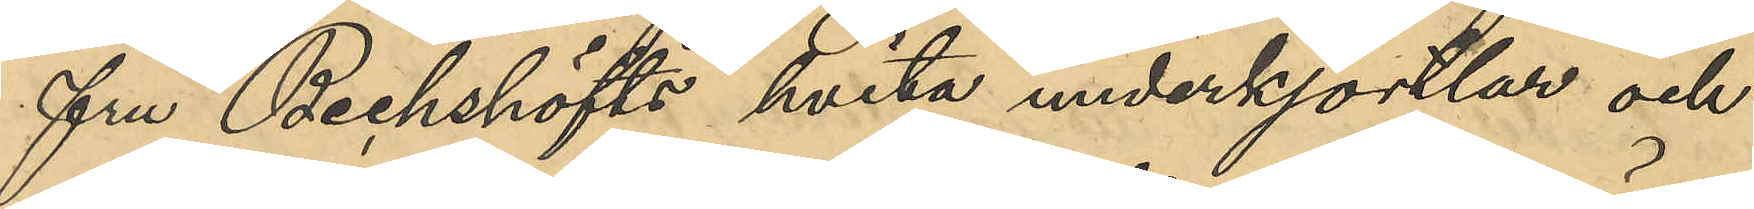fru Bechshöfts hvita underkjortlar och
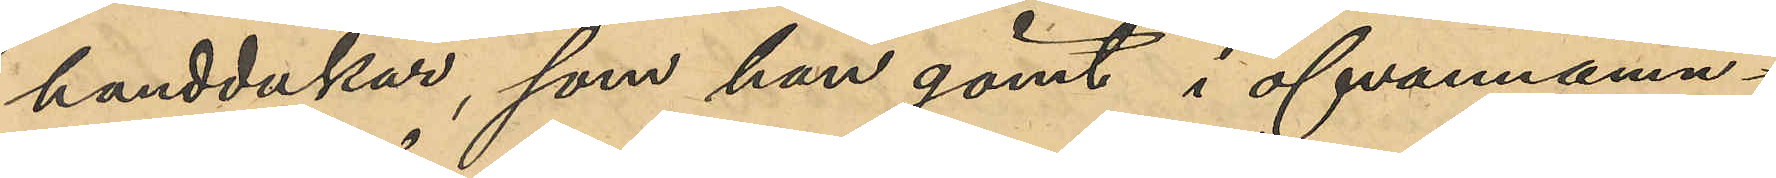handdukar som han gömt i ofvannämn¬
